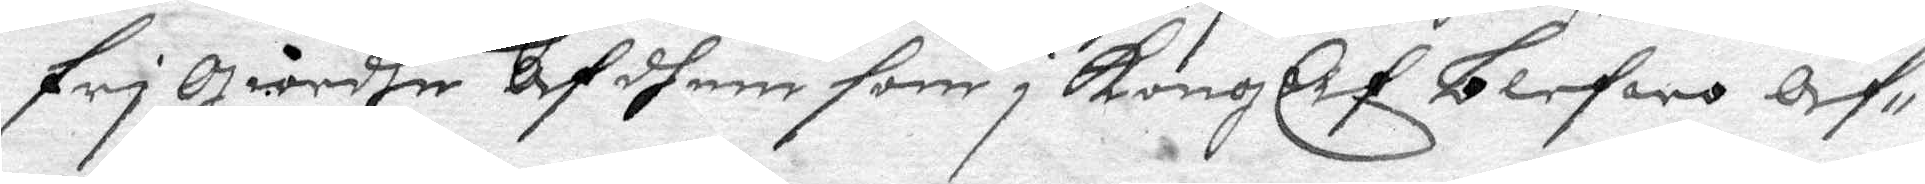fri giordhe Af dhem son i KongElf blefwo Af¬ 
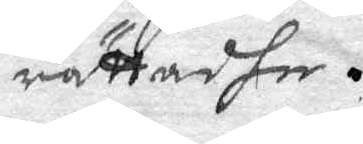rättadhe.
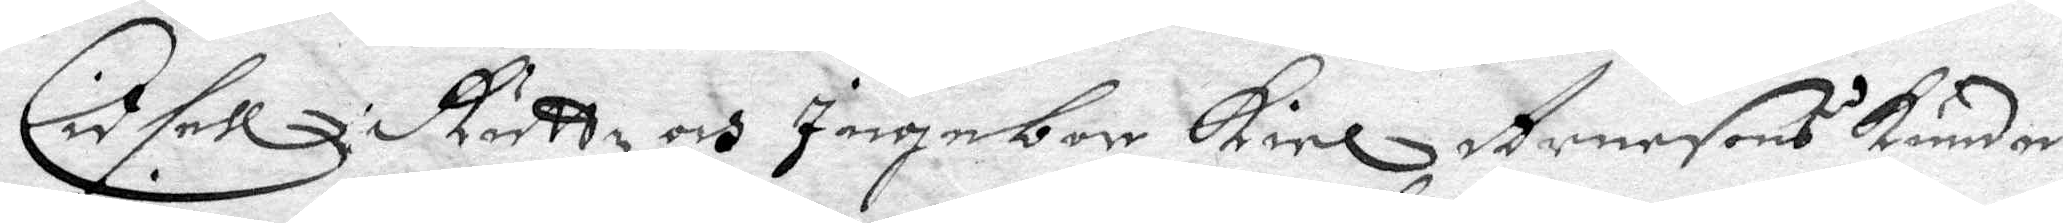Cidsell Ruttz och Ingebor Kiel Arnesons Kunder
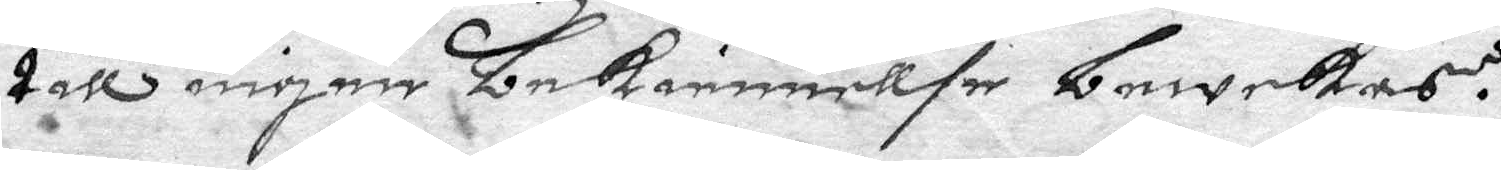till ingen bekiennellse bewekas.
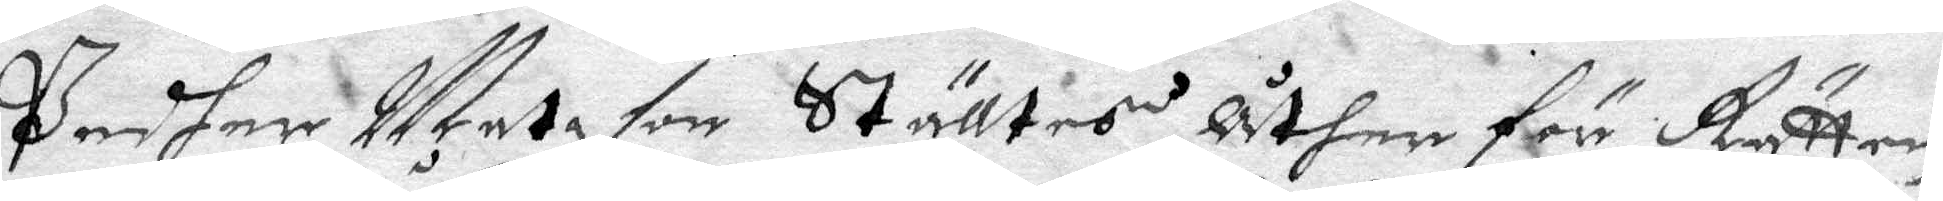Pedher Matz son Ställtes åther för Rätten
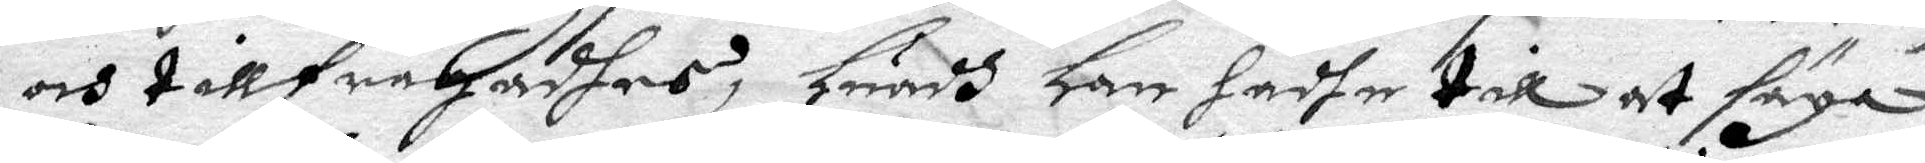och tillfrågadhes, huadh han hadhe till at säga
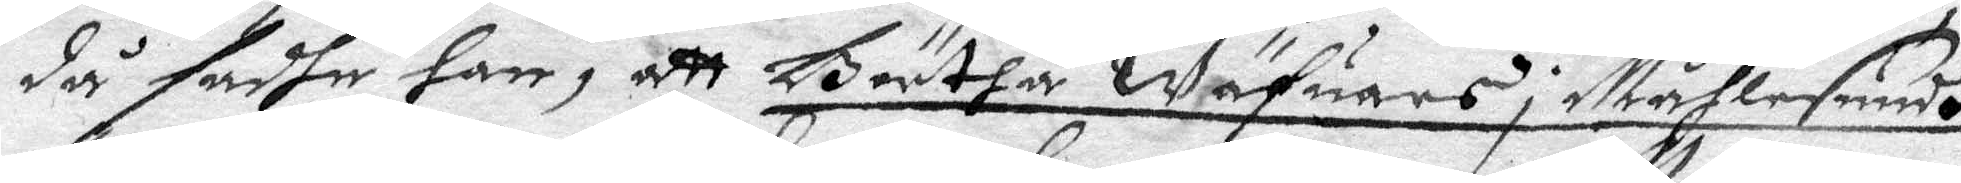då sadhe han, att Börtha Wäfuars i Måhlesundh
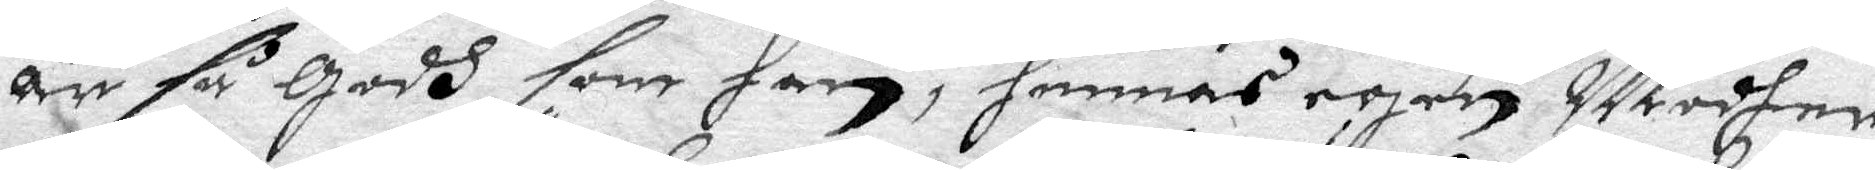Är så Godh som han, hennes egen Modher
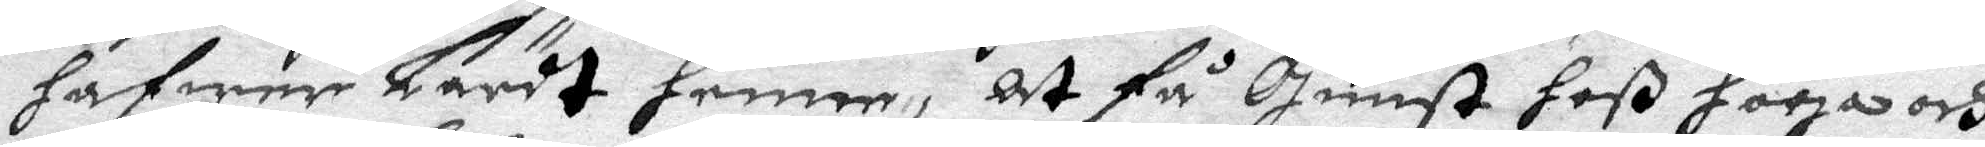hafwer Lärdt henne, at få gunst hoß höga och
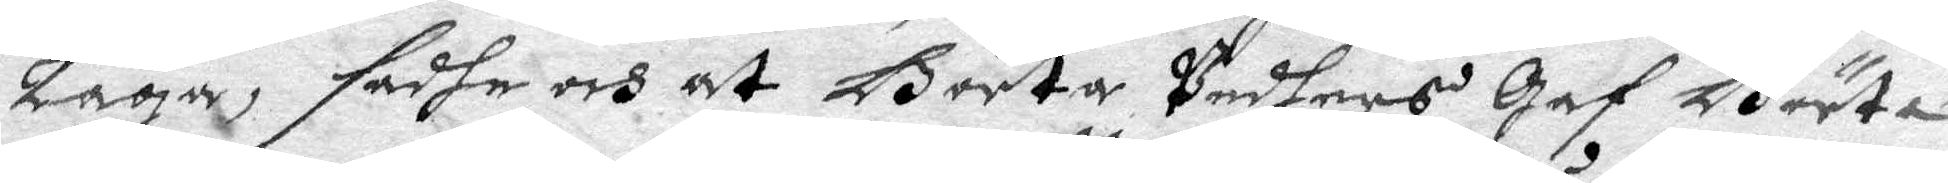Låga, sadhe och at Börta Pedhers gaf Börta
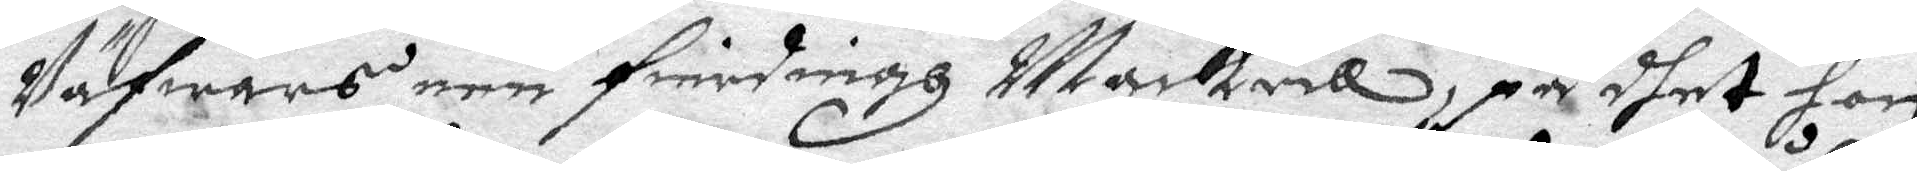Wäfwars een fierdingh Mackrill, på dhet hon
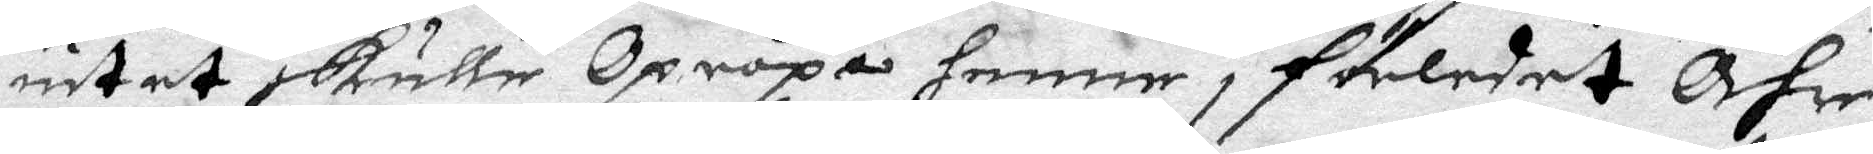intet skulle Opropa henne i förledet Åhr,
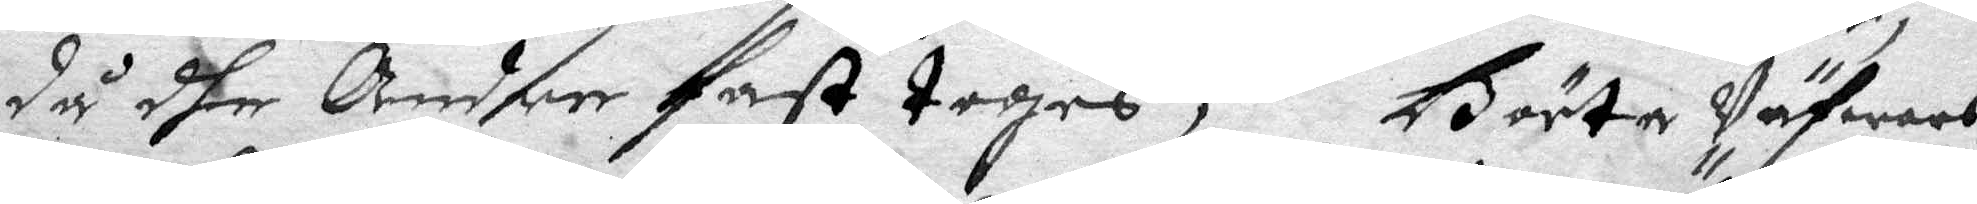då dher Andre fast toges; Börta Väfwars
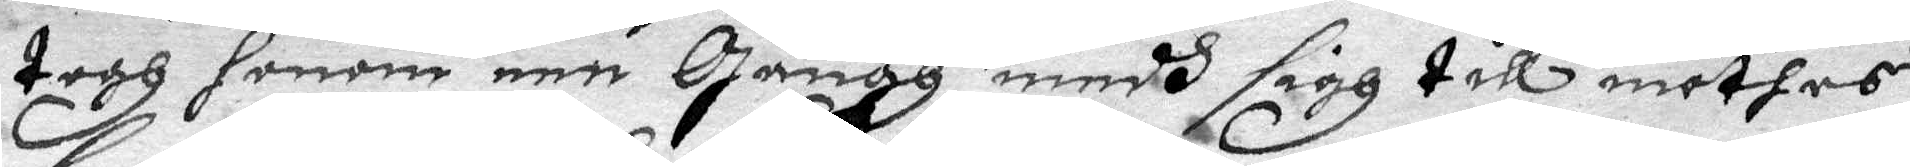togh honom een gångh medh sigh till möthes
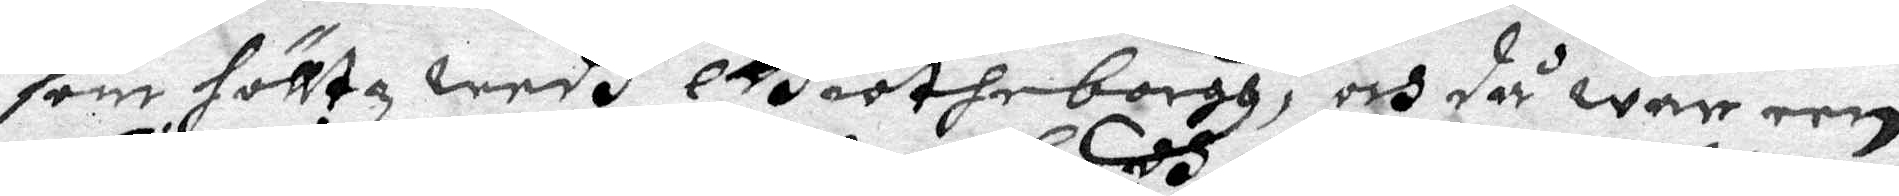som hölltz wedh Giötheborgh, och då war een
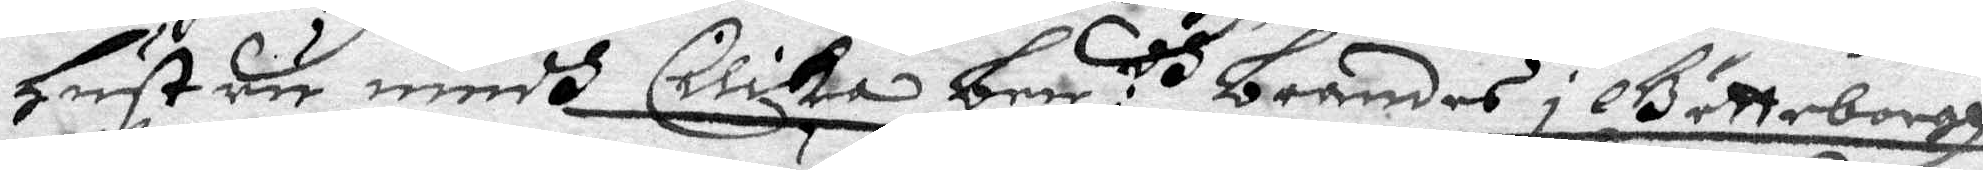hustru medh Cilika ben:dh  brändes i Götteborgh 
